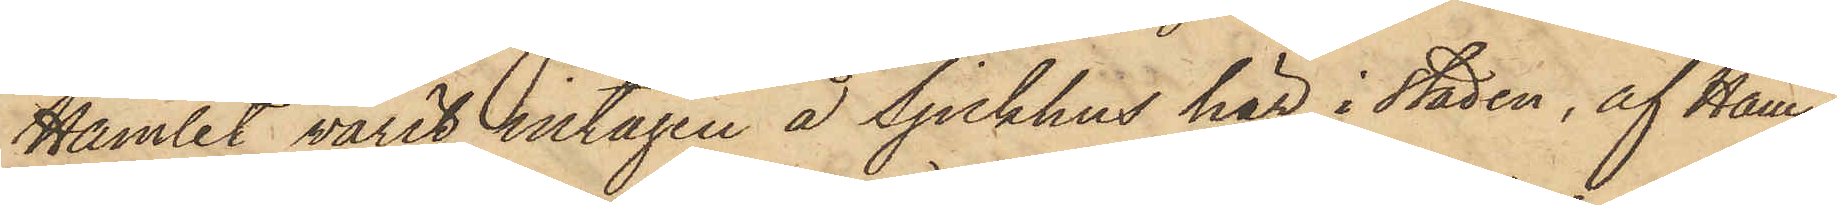Hamlet varit intagen å Sjukhus här i staden, af Ham¬
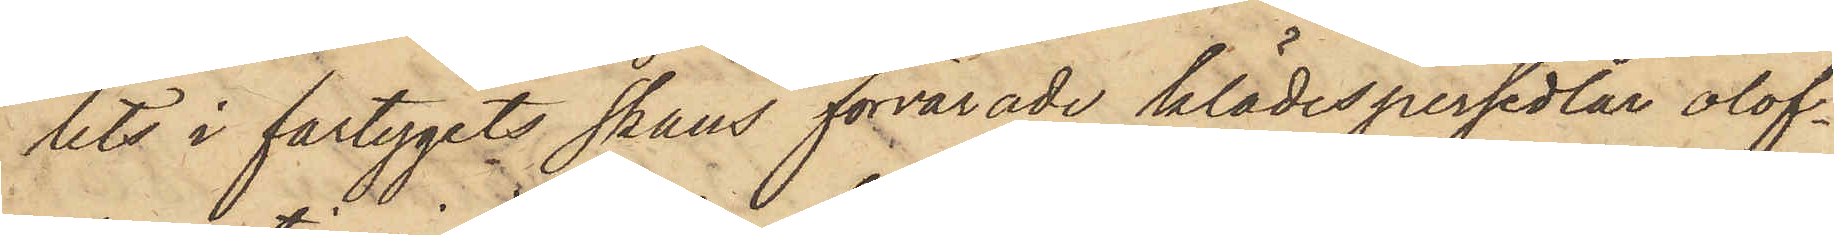lets i fartygets skans förvarade klädespersedlar olof¬
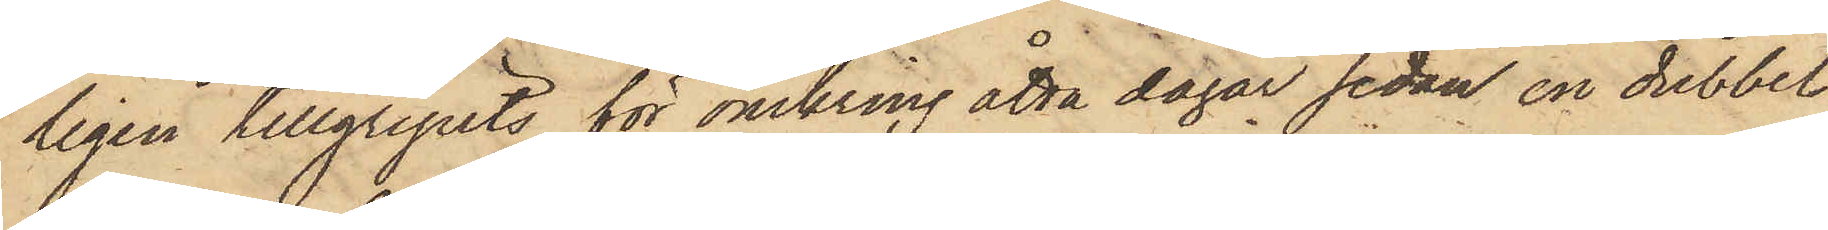ligen tillgripits för omkring åtta dagar sedan en dubbel
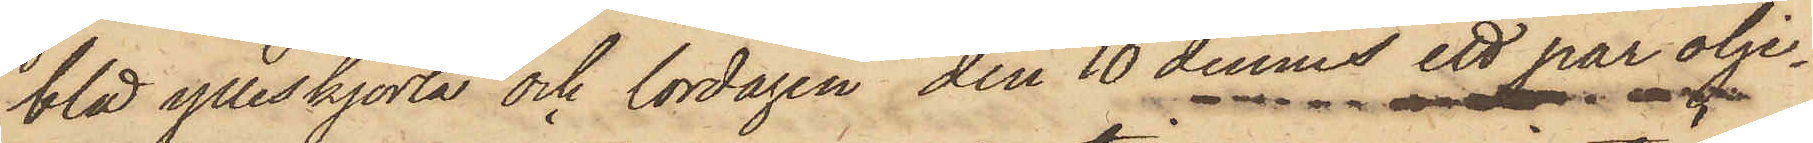blå ylleskjorta och lördagen den 10 dennes ett par olje¬
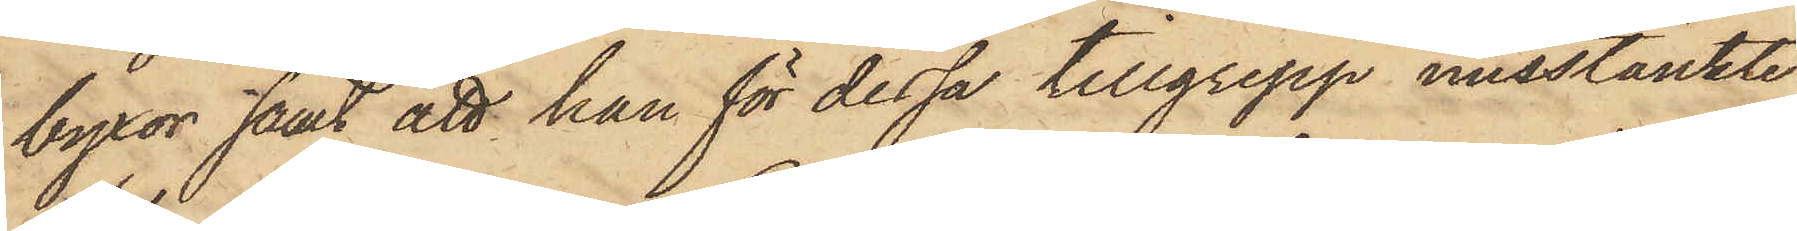byxor samt att han för dessa tillgrepp misstänkte
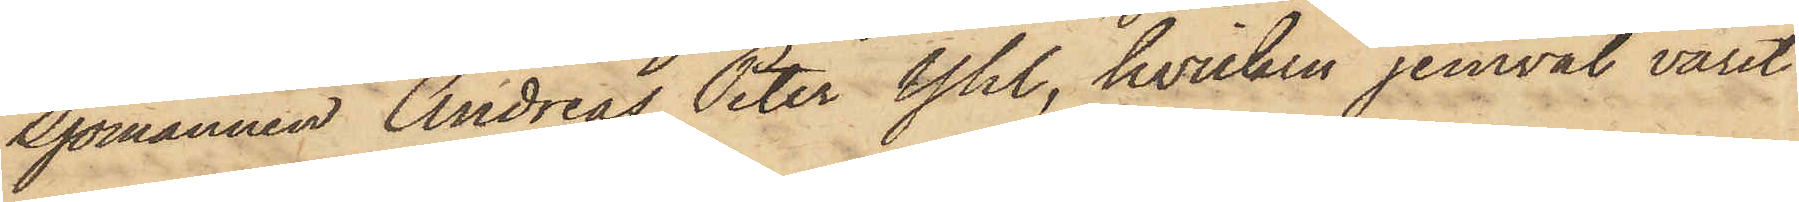Sjömannen Andreas Peter Yhl, hvilken jemväl varit
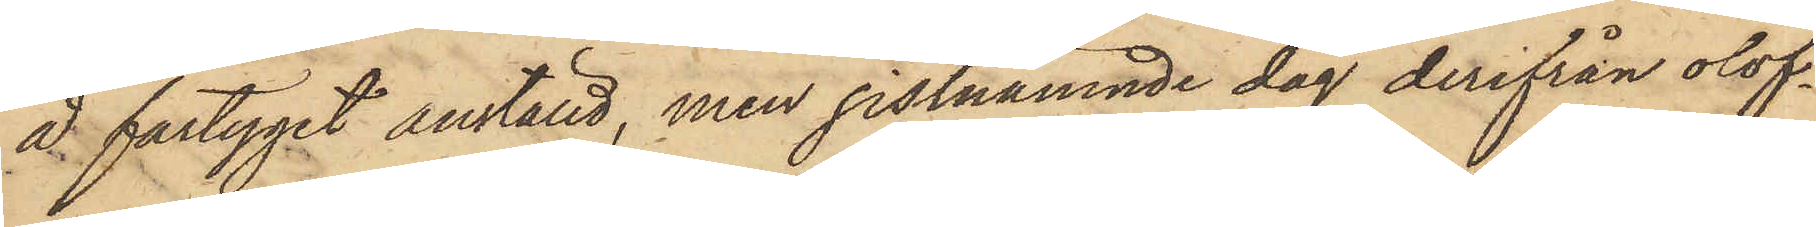å fartyget anställd, men sistnämnde dag derifrån olof¬
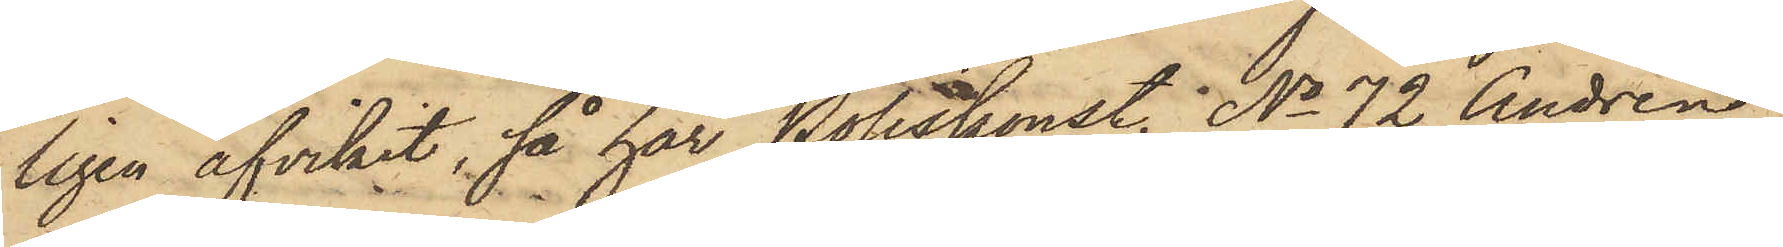ligen afvikit, så har Poliskonst. No 72 Andrén
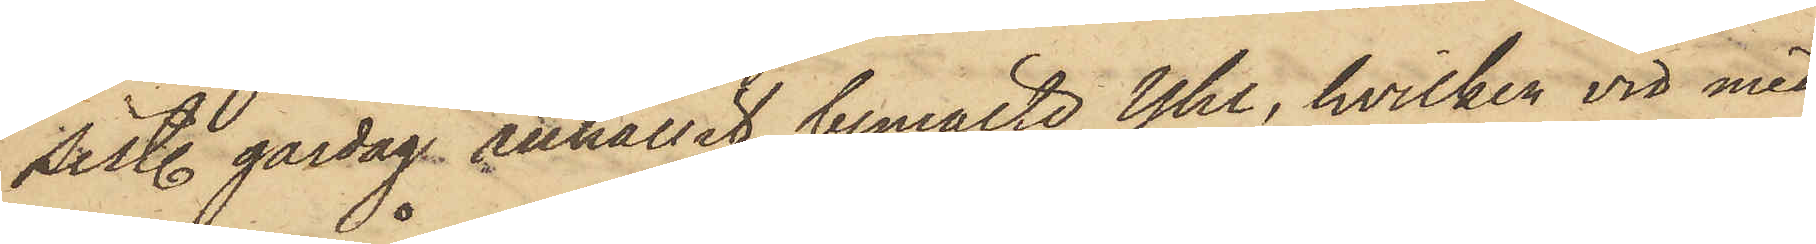sist. gårdag anhållit bemälde Yhl, hvilken vid med
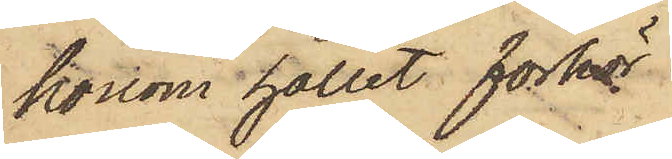honom hållet förhör
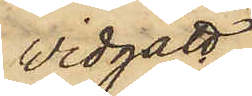vidgått
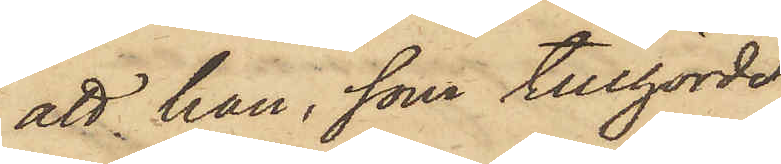att han, som tillhörde
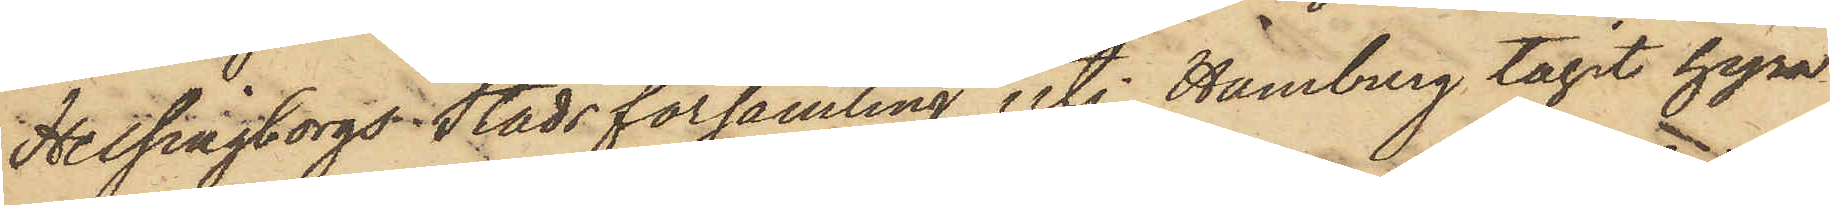Helsingborgs Stadsförsamling uti Hamburg tagit hyra
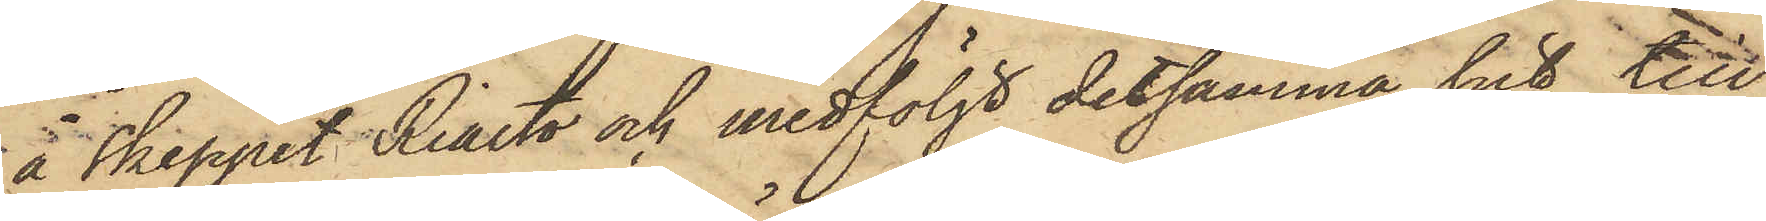å Skeppet Rialto och medföljt detsamma hit till
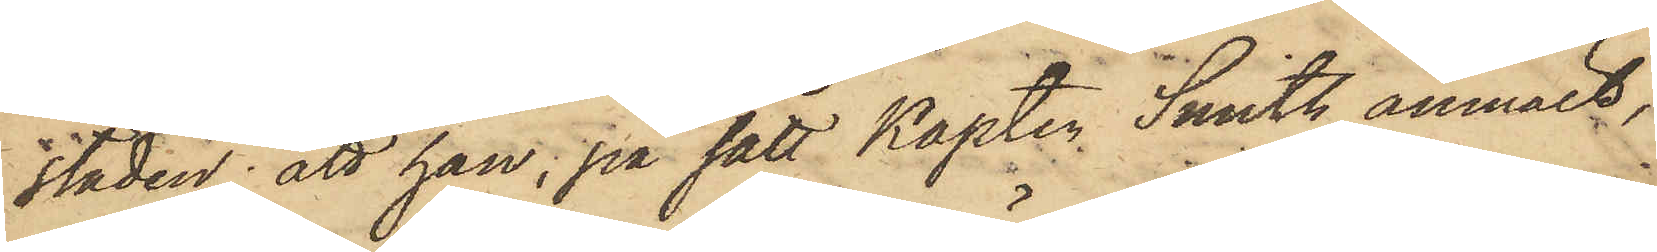staden; att han, på sätt Kapten Smith anmält,
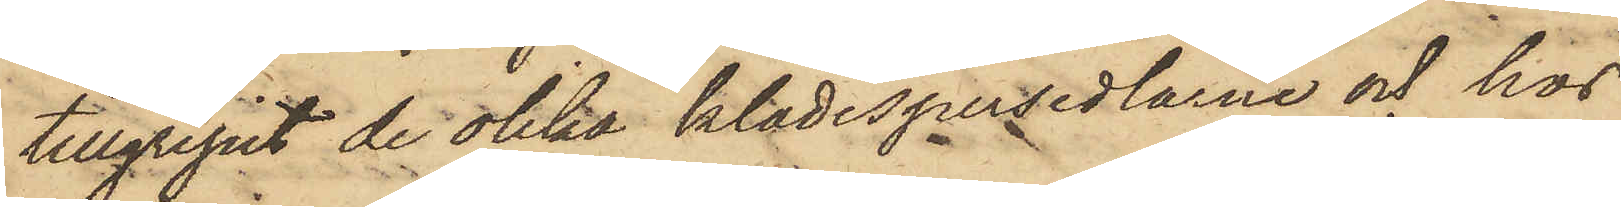tillgripit de olika klädespersedlarne och hos
